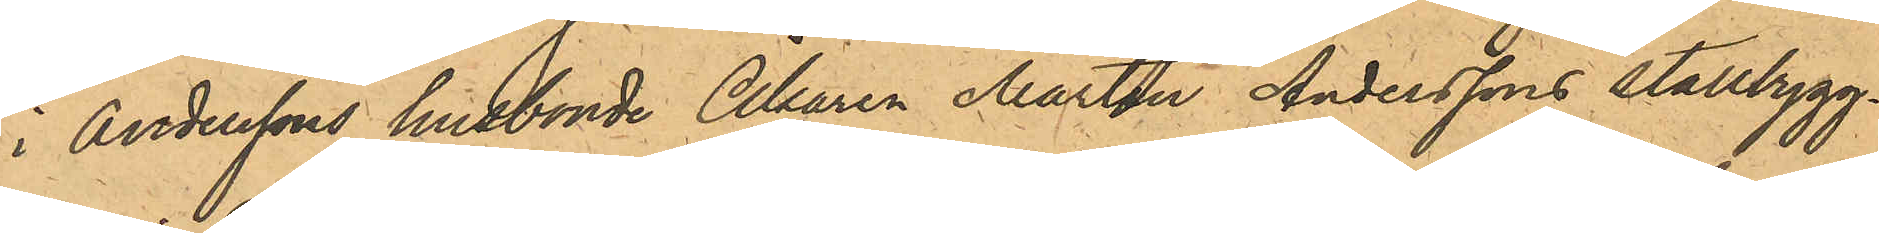i Anderssons husbonde Åkaren Martin Anderssons Stallbygg¬
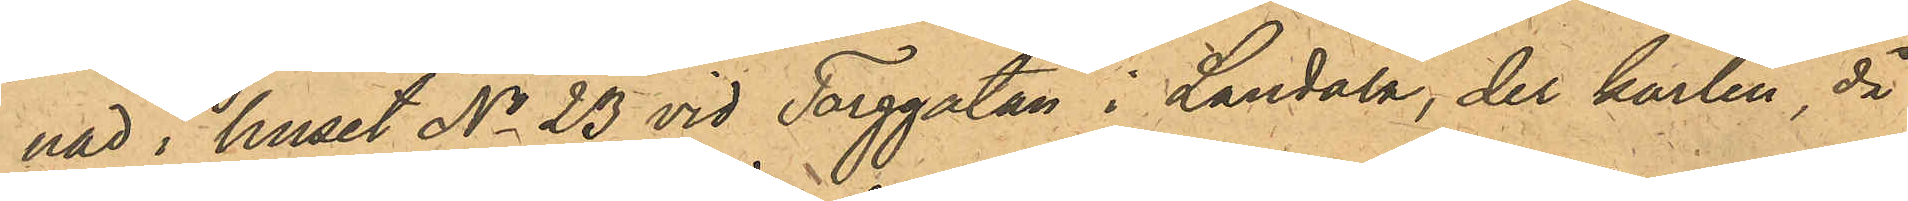nad i huset No 23 vid Torggatan i Landala, der karlen då
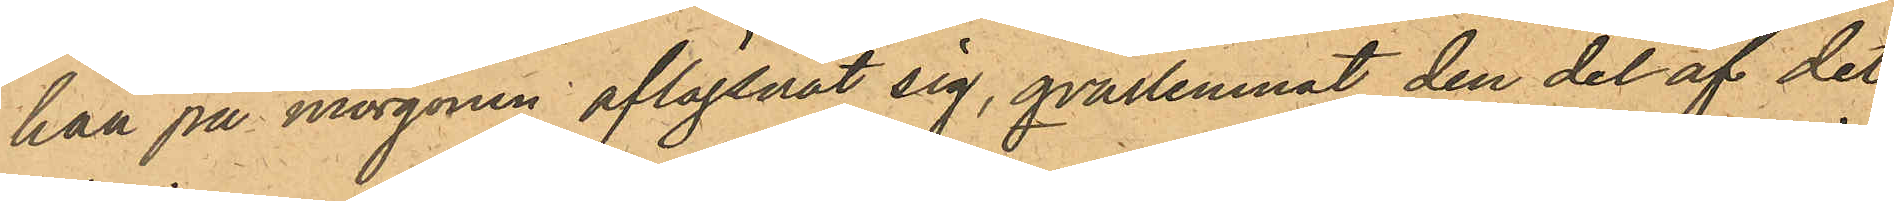han på morgonen aflägsnat sig, qvarlemnat den del af det
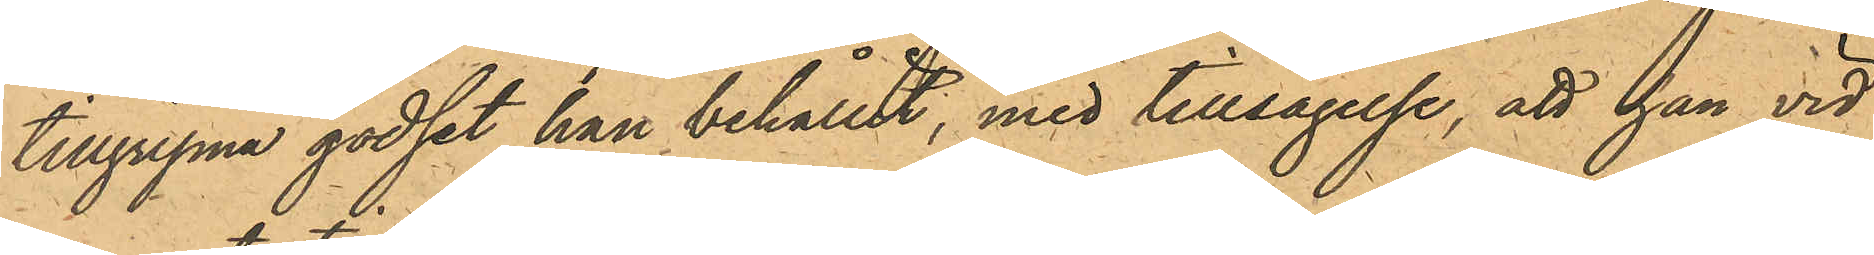tillgripna godset han behållit, med tillsägelse, att han vid
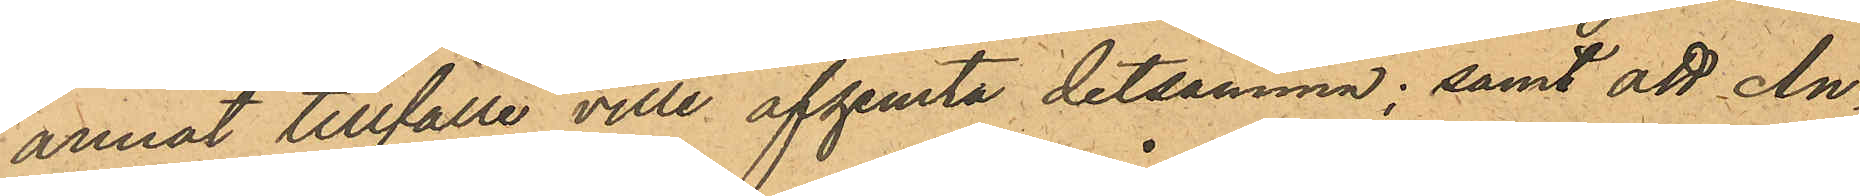annat tillfälle ville afhemta detsamma; samt att An¬
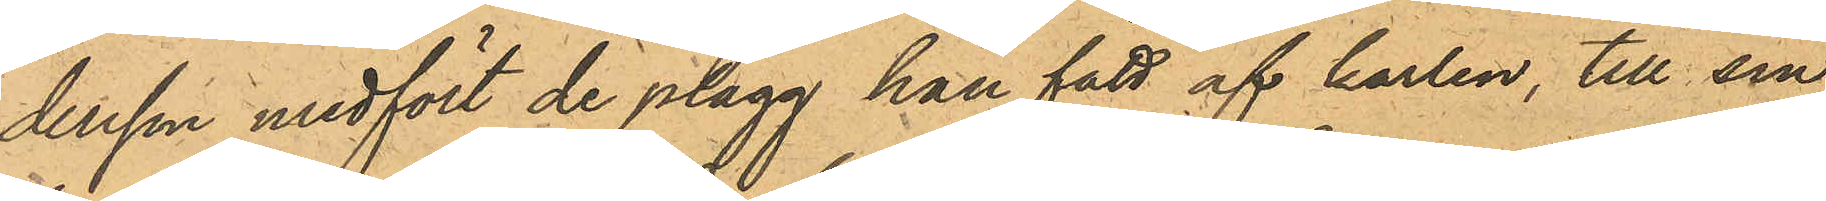dersson medfört de plagg han fått af karlen, till sin
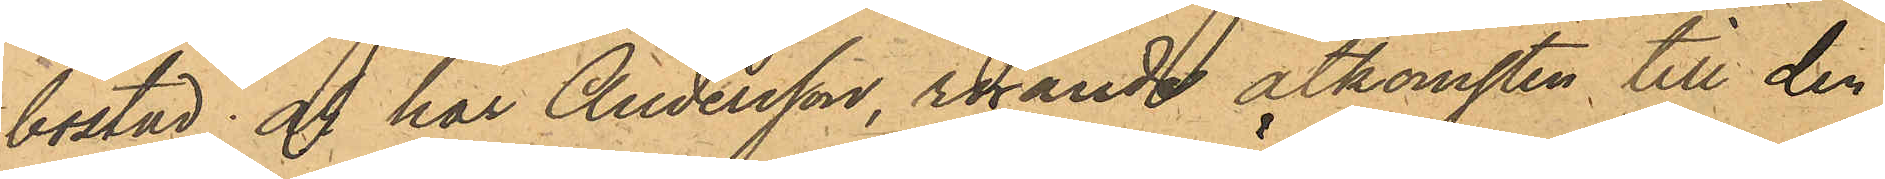bostad; och har Andersson rörande åtkomsten till den
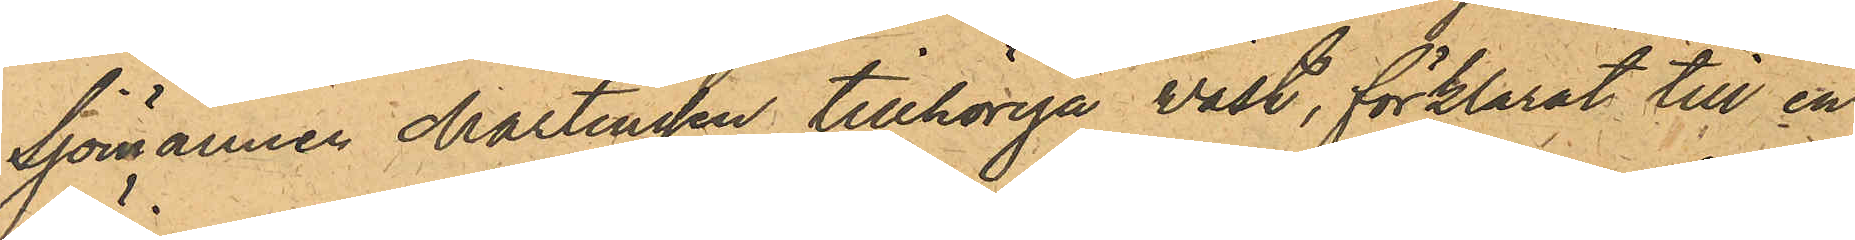Sjömannen Martinsson tillhöriga väst, förklarat till en
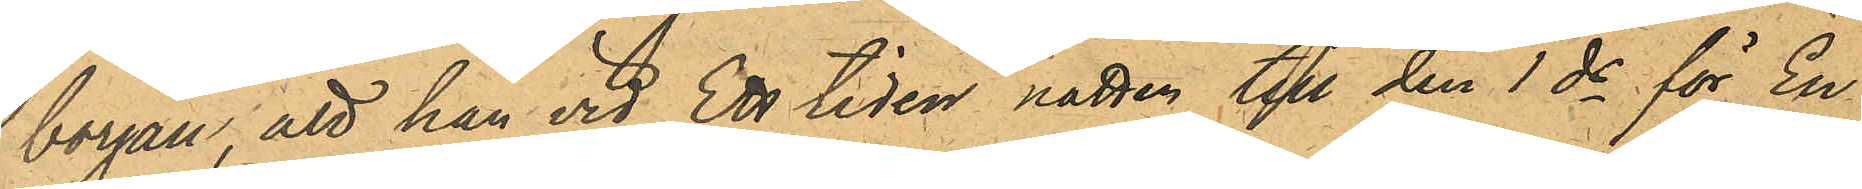början, att han vid Ett tiden natten till den 1 ds för En
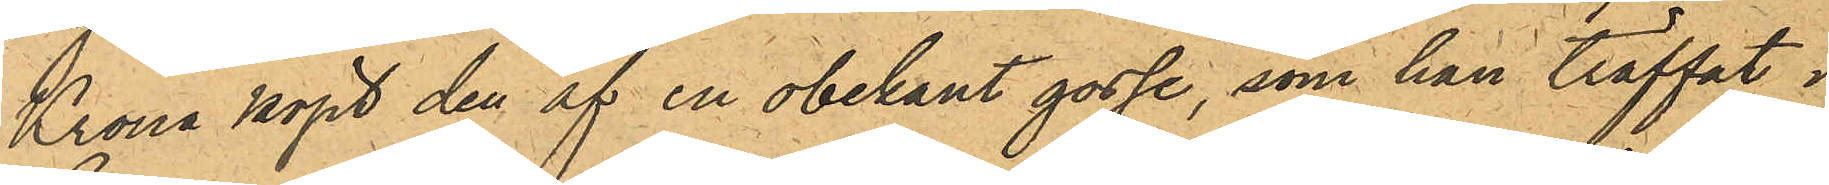Krona köpt den af en obekant gosse, som han träffat i
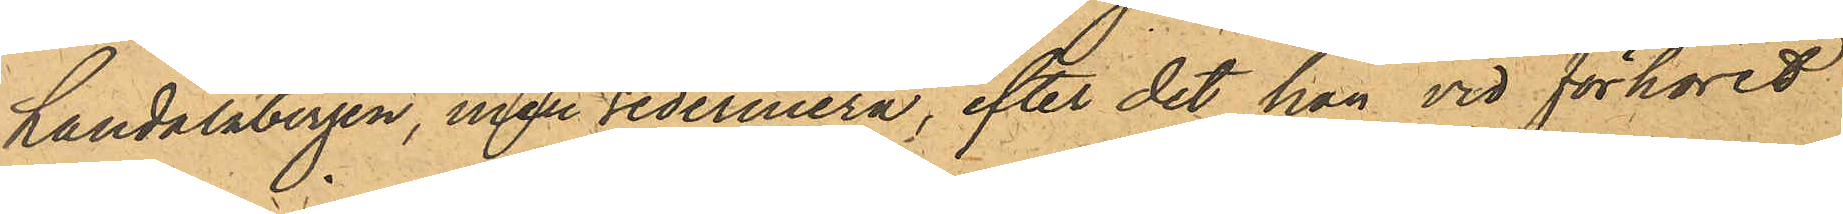Landalabergen, men sedermera, efter det han vid förhöret
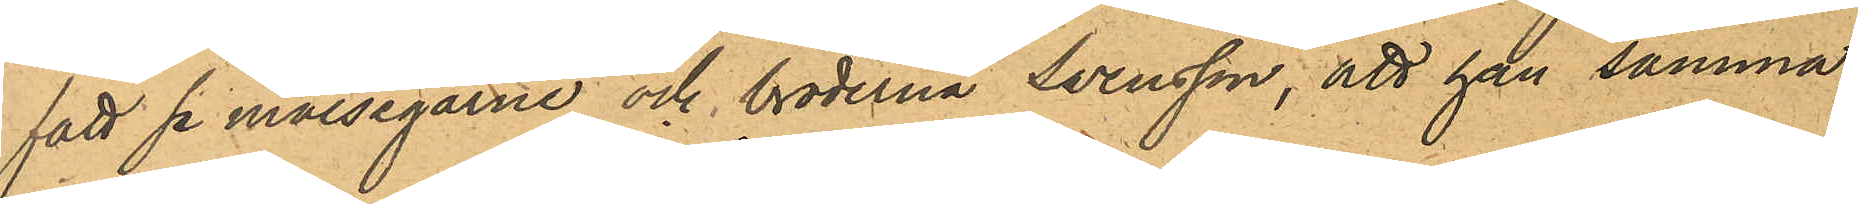fått se målsegarne och bröderna Svensson, att han samma
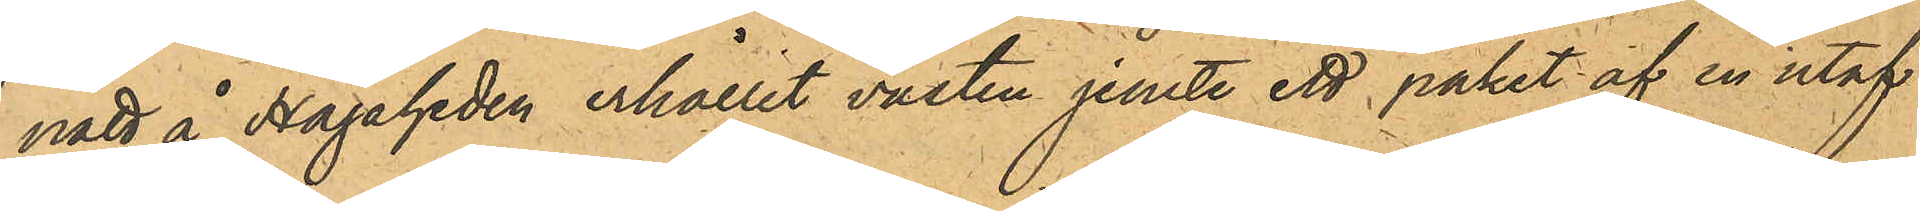natt å Hagaheden erhållit västen jemte ett paket af en utaf
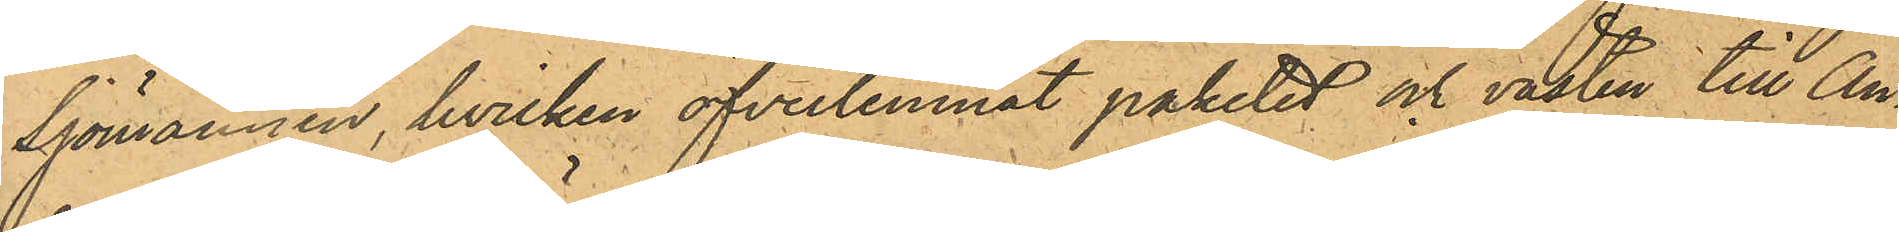Sjömännen, hvilken öfverlemnat paketet och västen till An¬
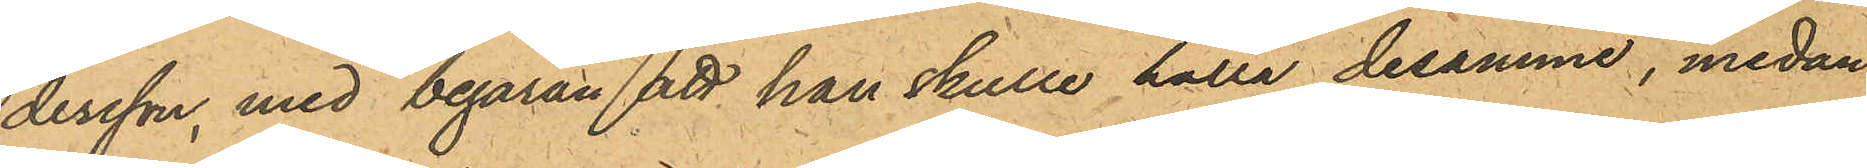dersson med begäran att han skulle hålla desamme, medan
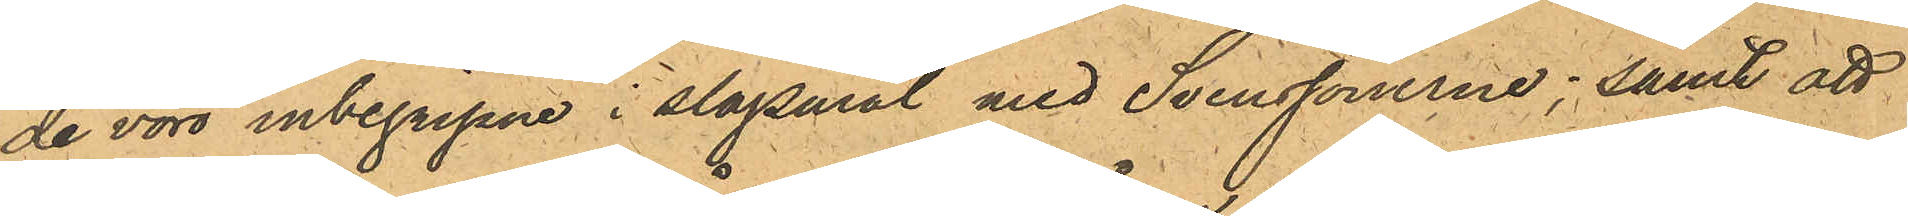de voro inbegripne i slagsmål med Svenssönerne; samt att
